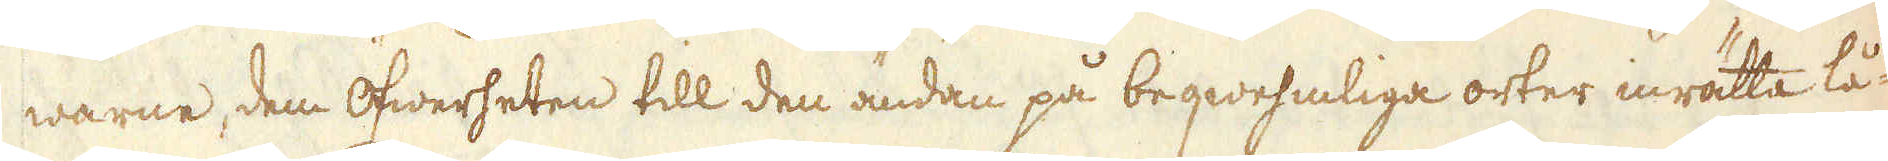warne, dem öfwerheten till den ändan på beqwehmliga orter inrätta lå-
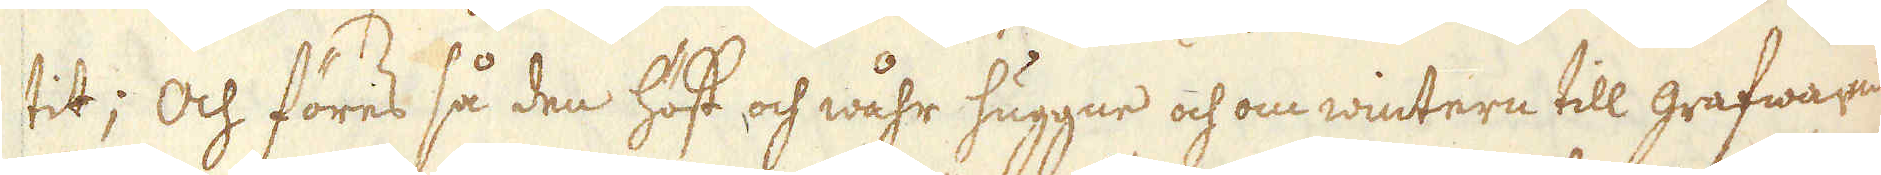tit; Och föres så den höst och wåhr huggne och om wintern till grafwarne
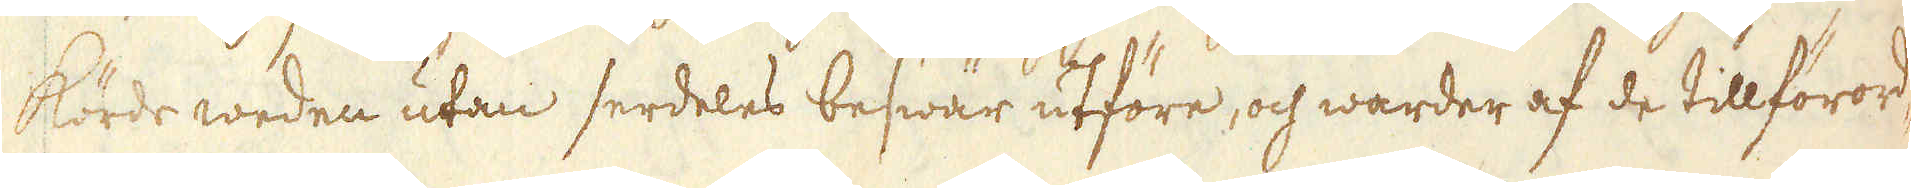körde weden utan serdeles beswär utföre, och warder af de tillförord-
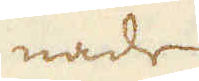nade
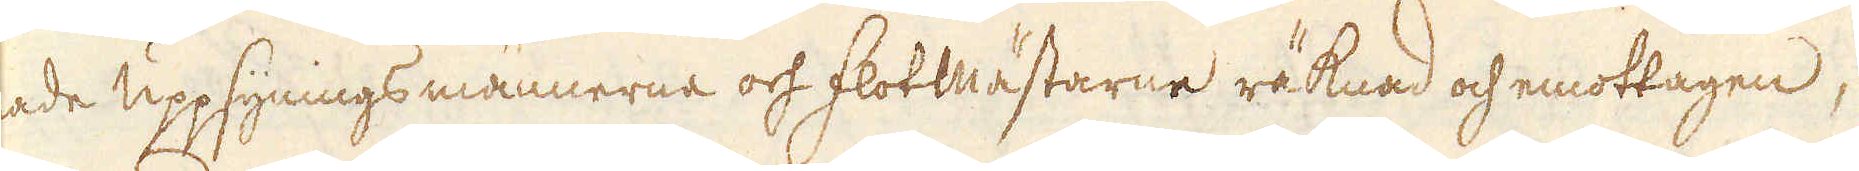nade uppsynings männerne och Flottmästarne räknad och emottagen,
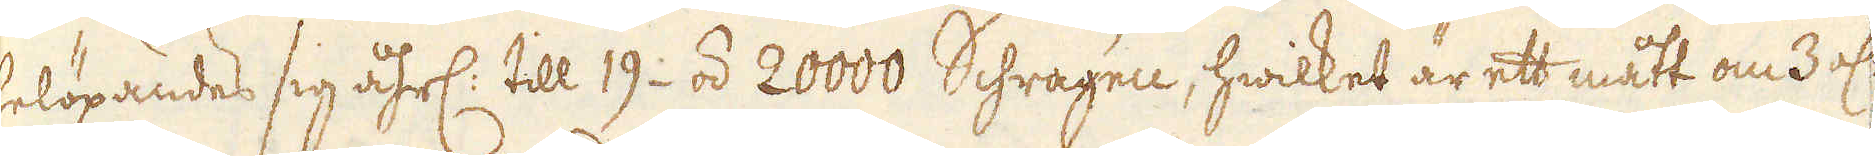belöpandes sig åhrl: till 19- á 20000 Schragen, hwilket är ett mått om 3 al:
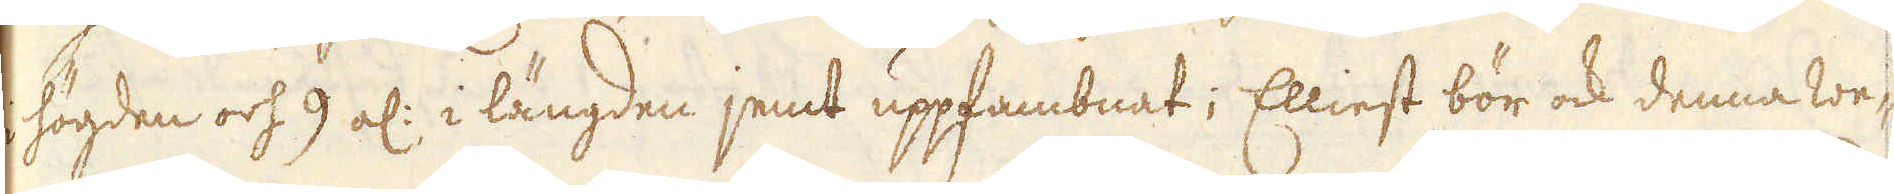högden och 9 al: i längden jemt uppfambnat; Elliest bör ock denna we-
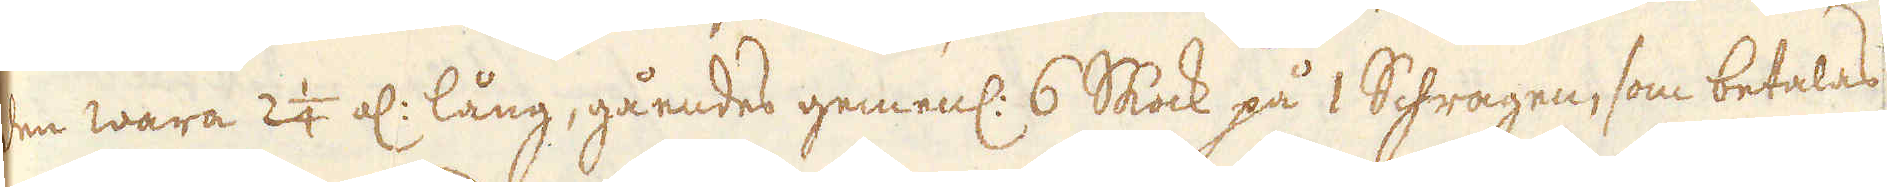den wara 2 1/4 al: lång, gåendes gemenl: 6 Skock på 1 Schragen, som betalas
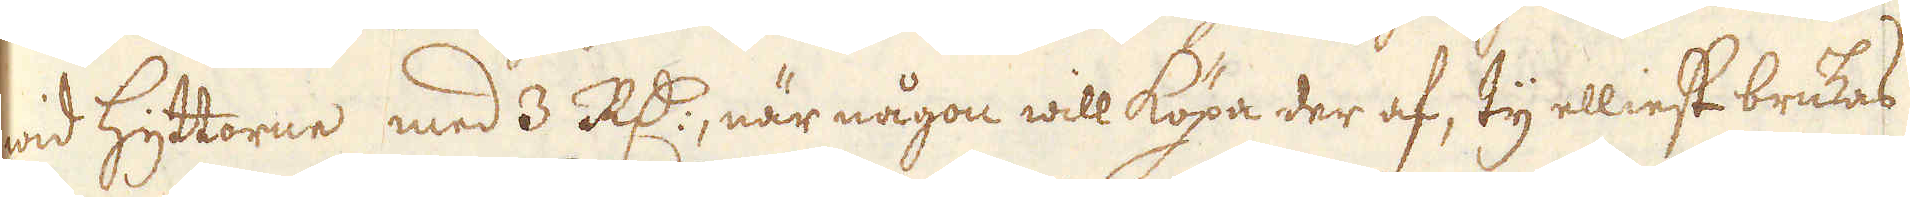wid Hyttorne med 3 R:dr, när någon will köpa der af, ty elliest brukas
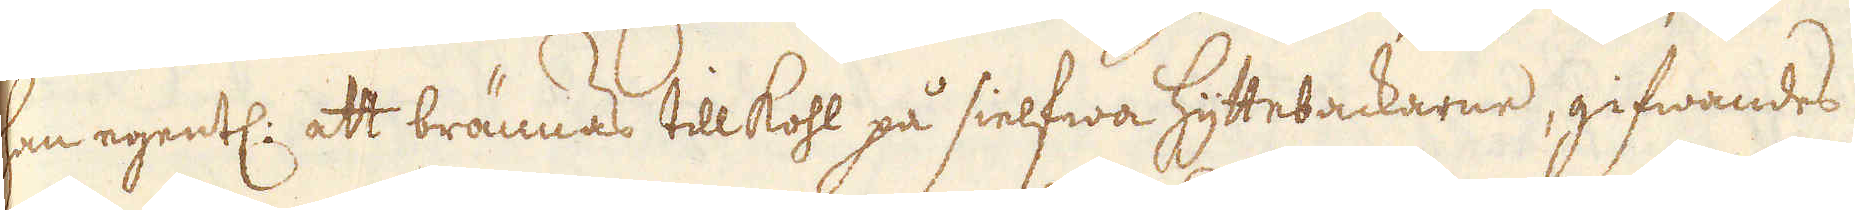hon egentl: att brännas till kohl på sielfwa Hyttebackarne, gifwandes
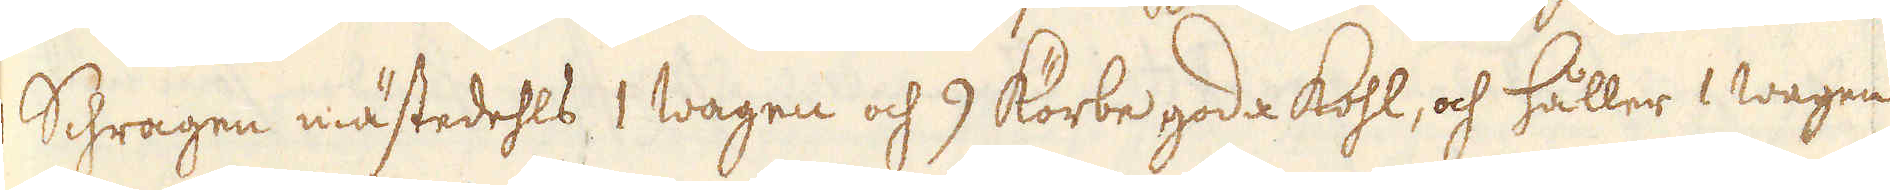Schragen mästedehls 1 wagen och 9 Körbe goda Kohl, och håller 1 wagen
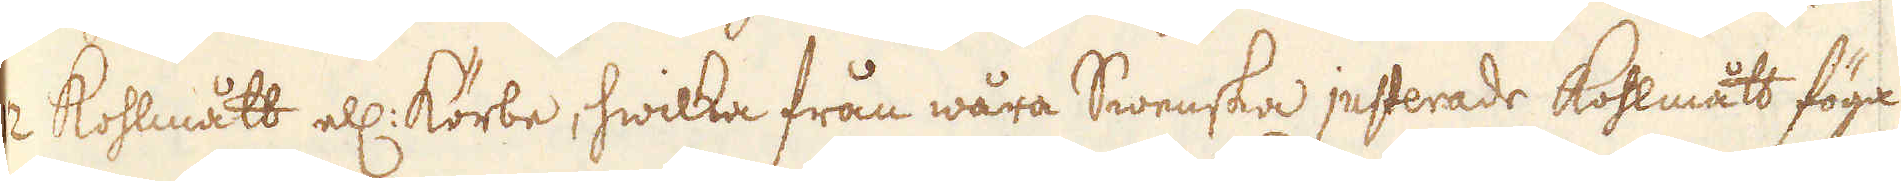2 Kohlmått ell: Körbe, hwilka från wåra Swenska justerade Kohlmått föga
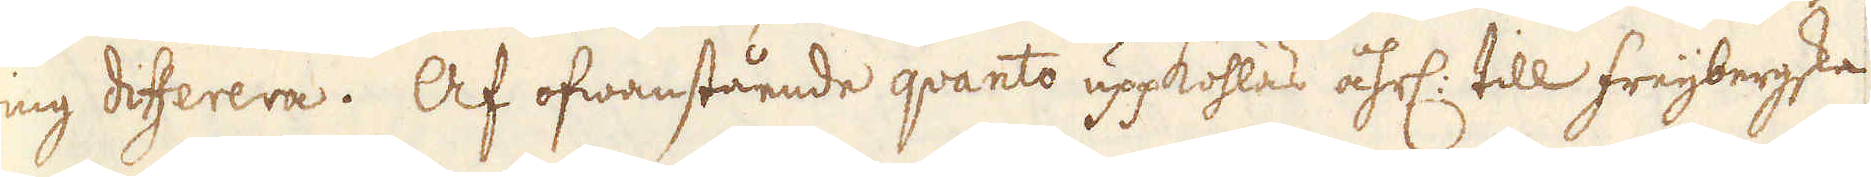ting differera. Af ofwanstående qvanto uppkohlas åhrl: till freijbergska
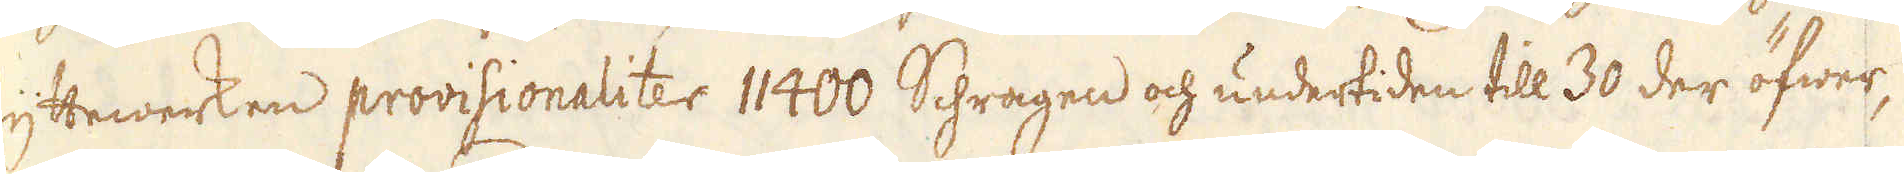hyttewerken provisionaliter 11400 Schragen och undertiden till 30 der öfwer,
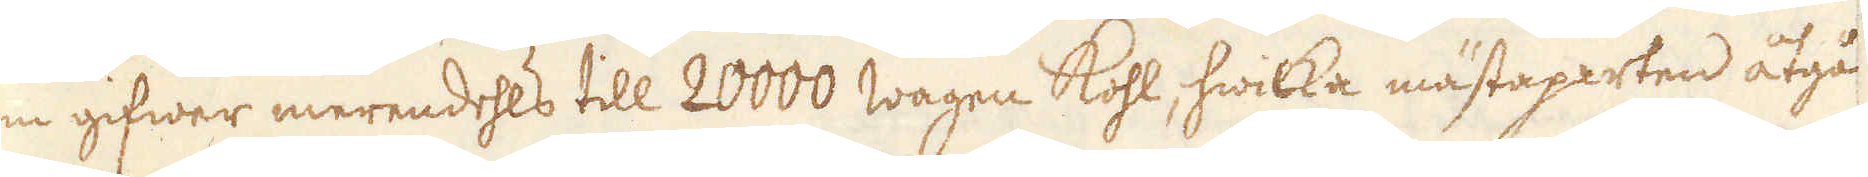som gifwer merendehls till 20000 wagen Kohl, hwilka mästaparten åtgå
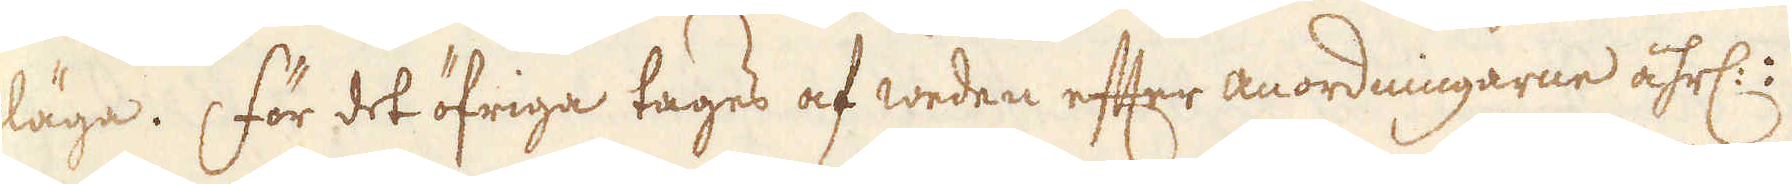pläga. För det öfriga tages af weden efter anordningarne åhrl:
